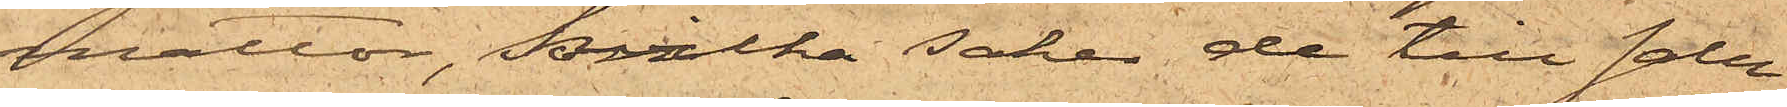mattor, hvilka saker de till salu
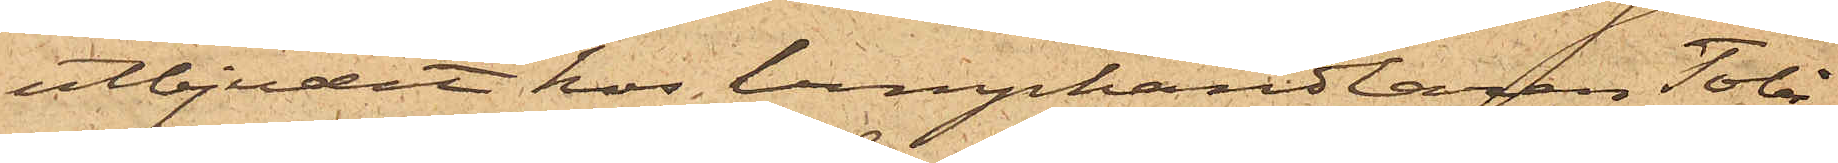utbjudit hos lumphandlaren Tobi¬
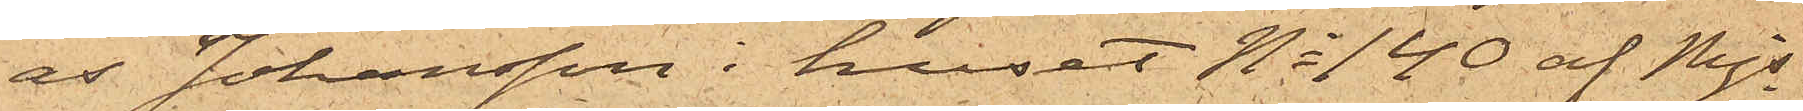as Johansson i huset No 140 af Mjs
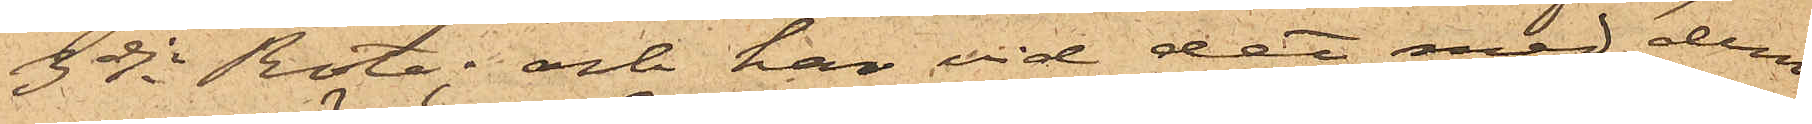3dje Rote, och har vid det med dem
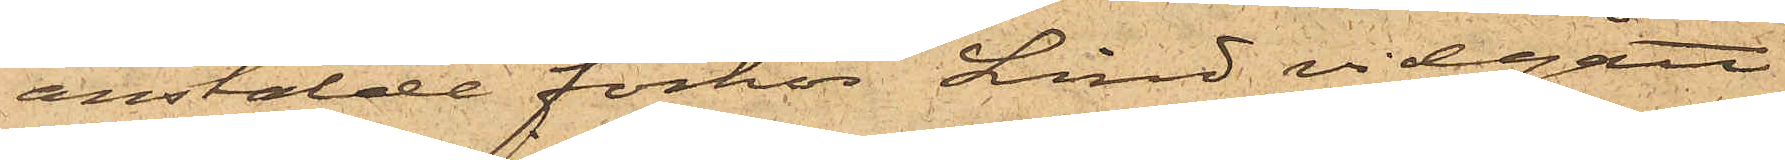anstälde förhör Lind vidgått
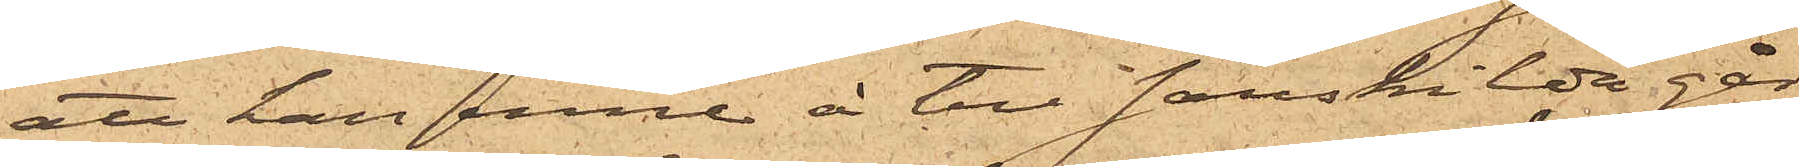att han inne å till särskilda går¬
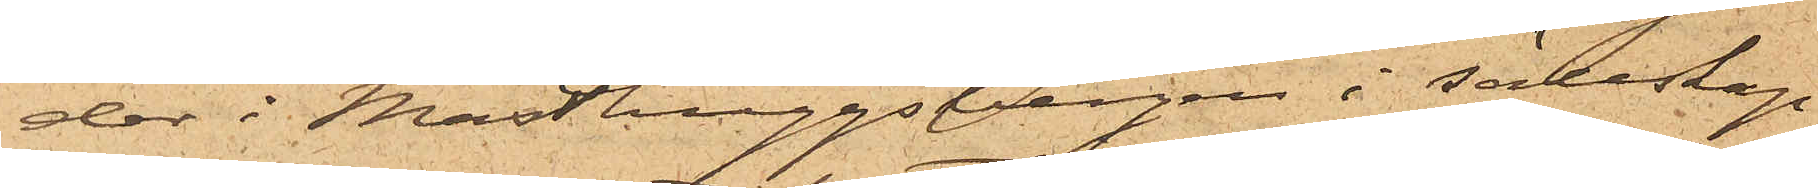dar i Masthuggsbergen i sällskap
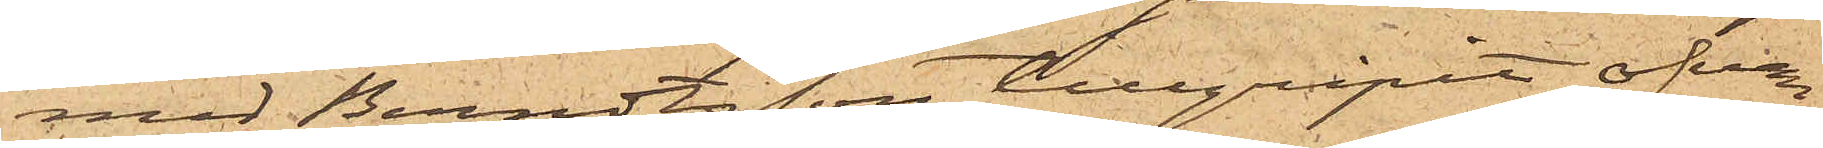med Berndtsson tillgripit ofvan¬
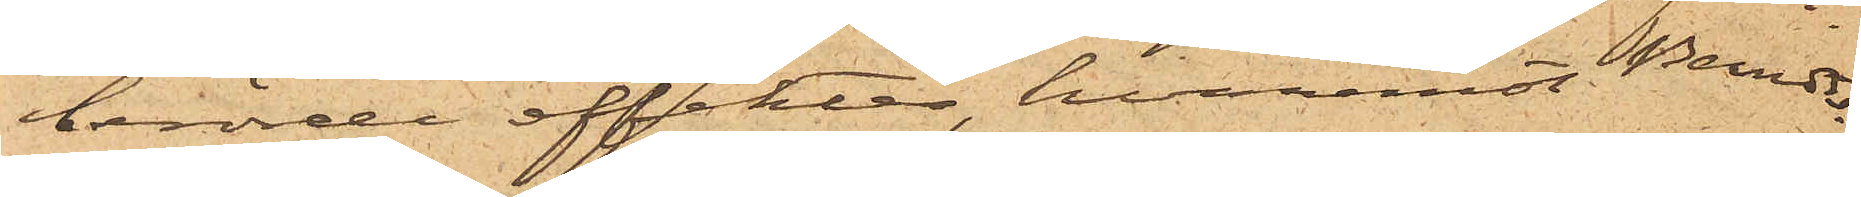berörde effekter, hvaremot Berndts¬
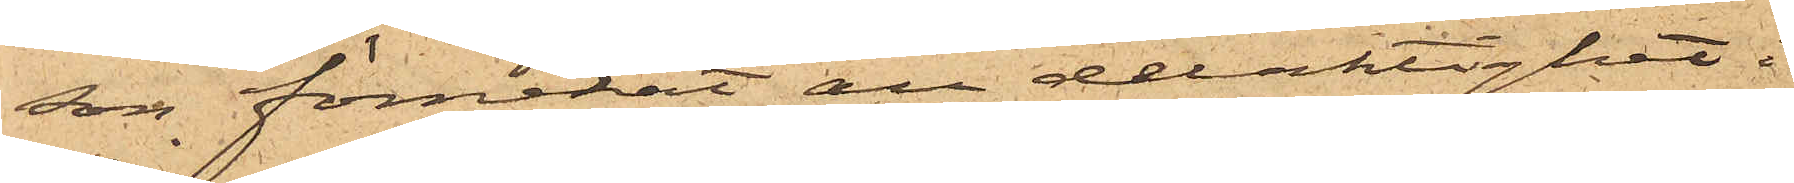son förnekat all delaktighet i
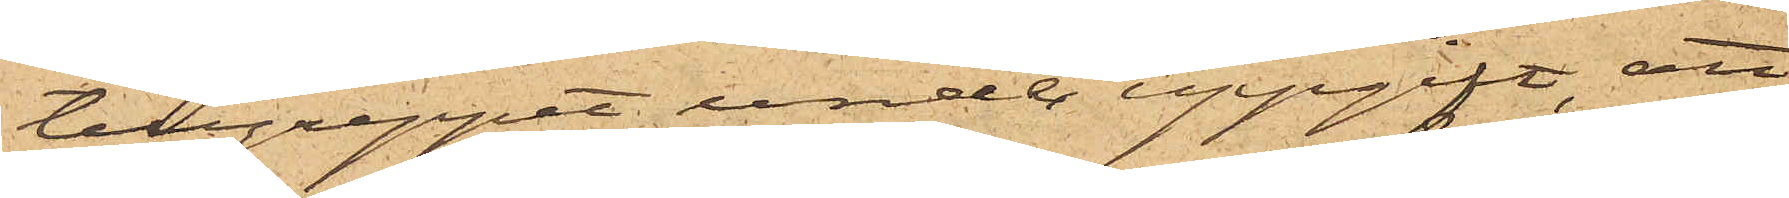tillgreppet under uppgift, att
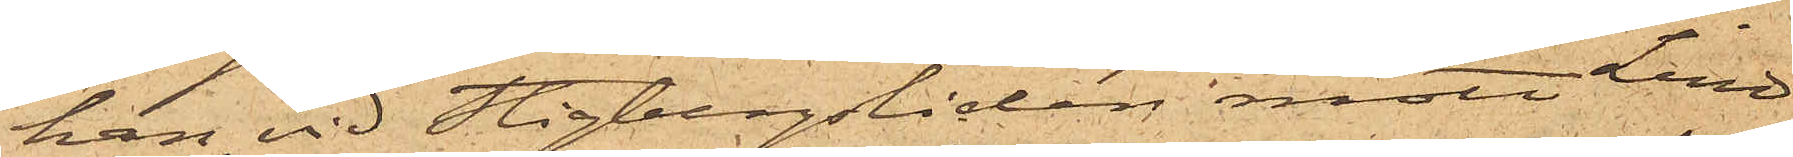han vid Stigbergsliden mött Lind
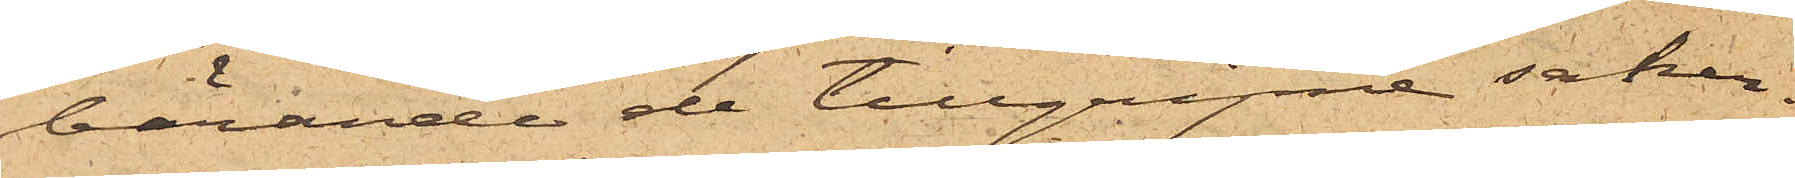bärande de tillgripne saker¬
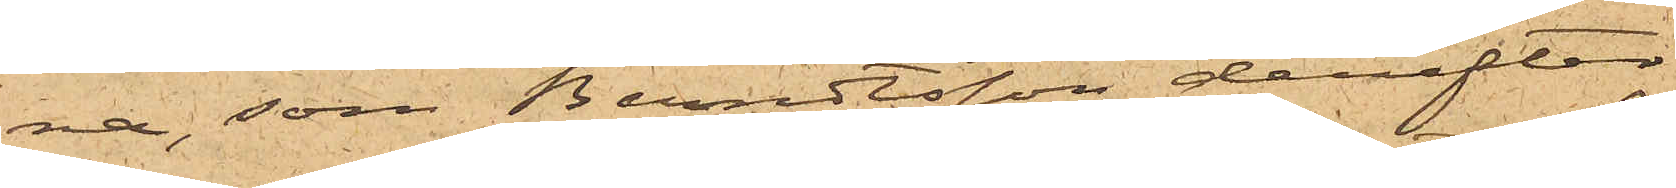na, som Berndtsson derefter
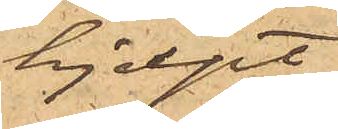hjelpt
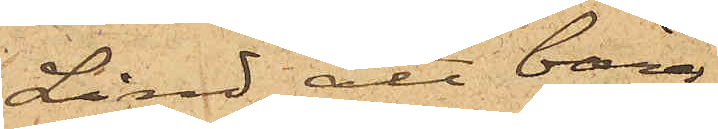Lind att bära.
